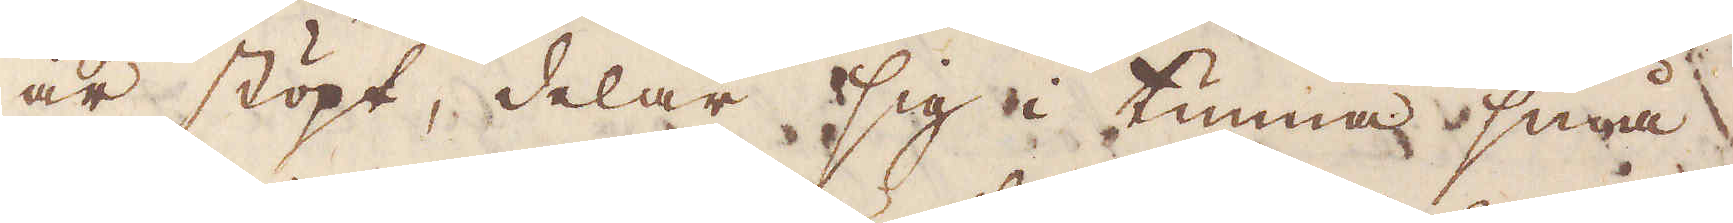är stöpt, delar sig i tunna små
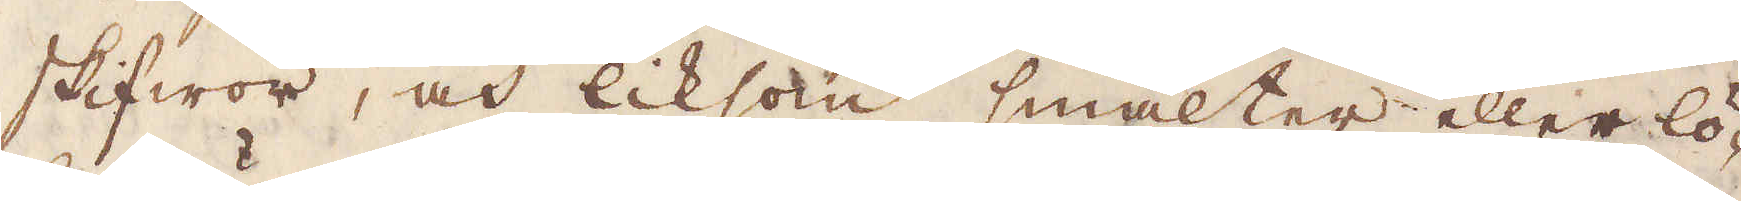skifwor, och liksom smälter eller lö-
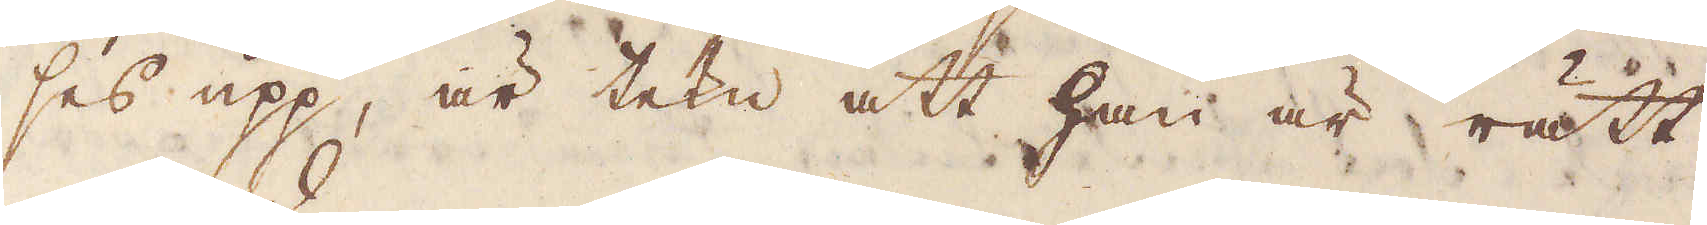ses upp, är tekn att han är rätt
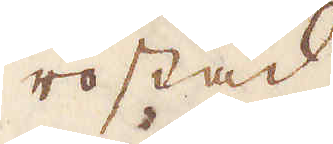rostad
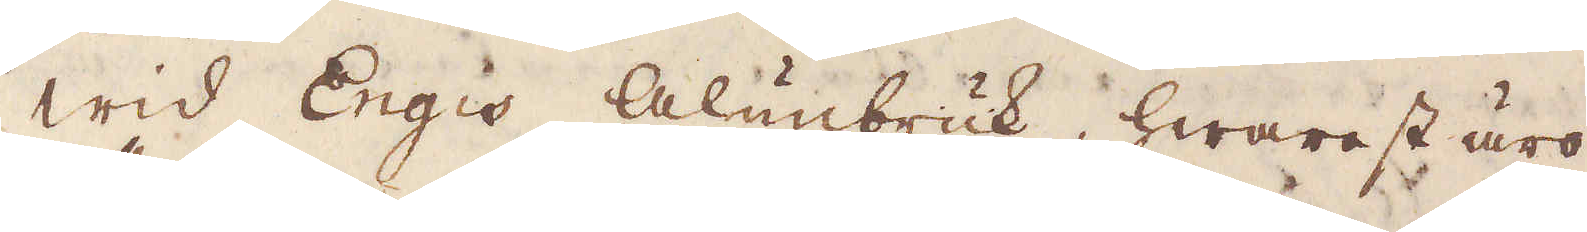Wid Engis Alunbruk, hwarest äro
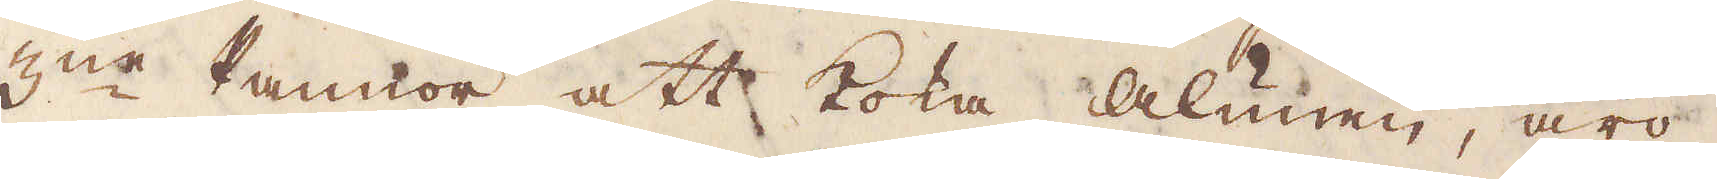3:ne Pannor att koka alunen, äro
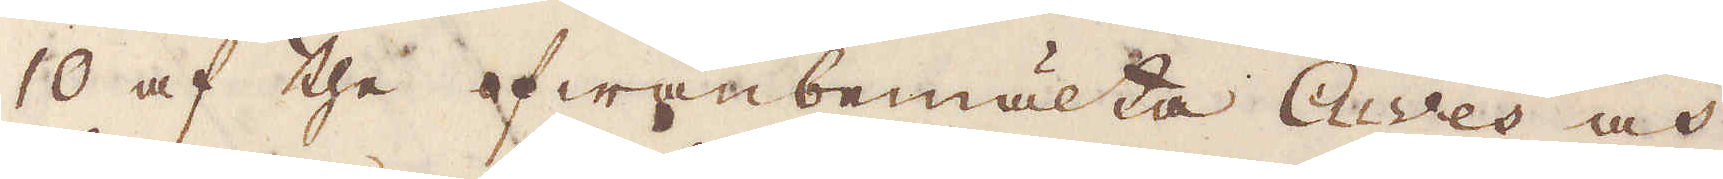10 af the fwanbemälta Ches och
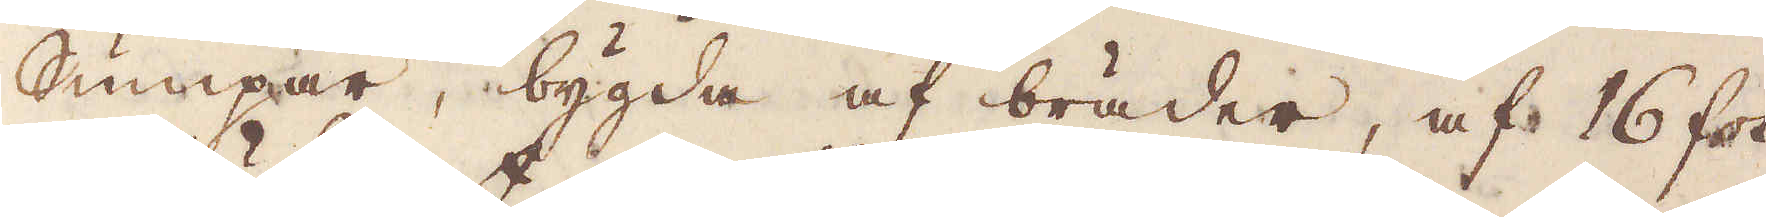Sumpar, bygda af bräder, af 16 fot
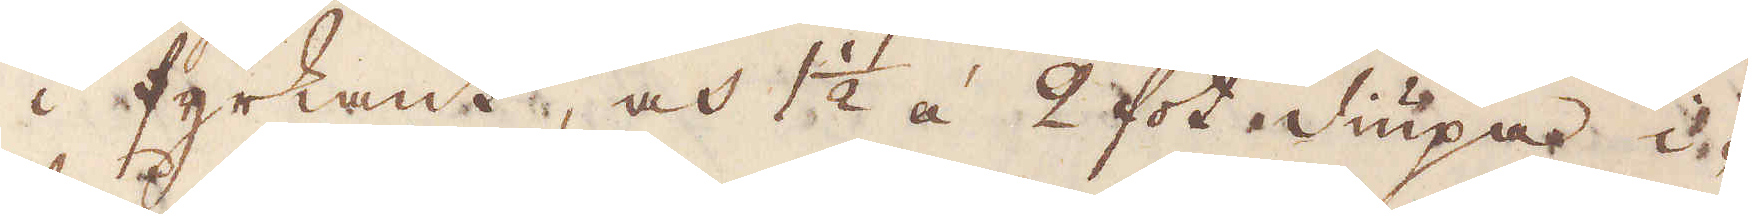i fyrkant, och 1 1/2 á 2 fot diupa i-
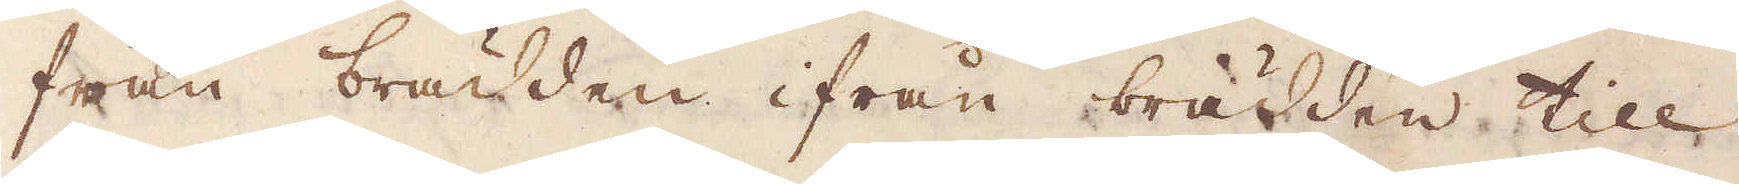från brädden ifrån brädden till
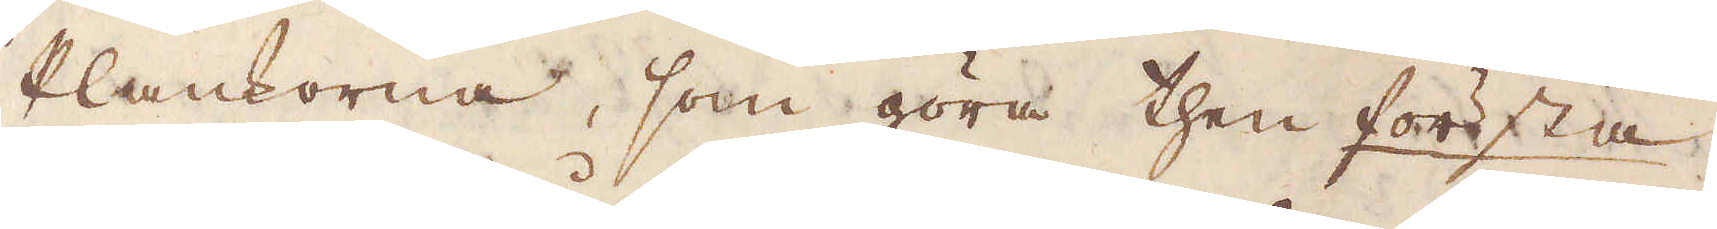Plankorna, som göra then första.
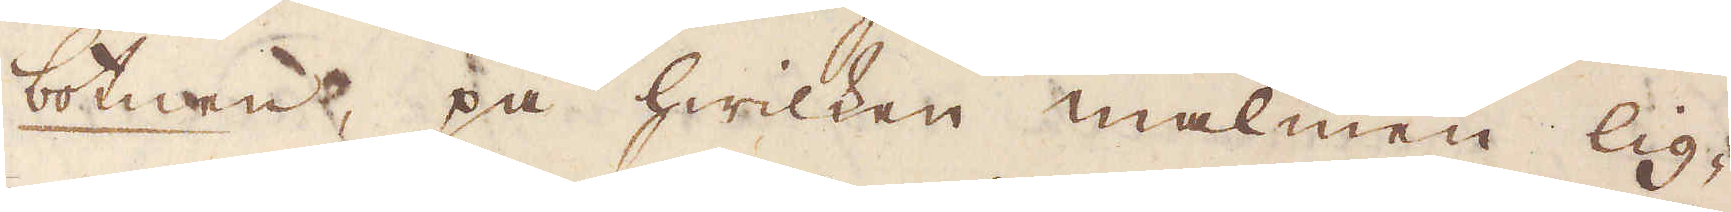botnen, på hwilken malmen lig-
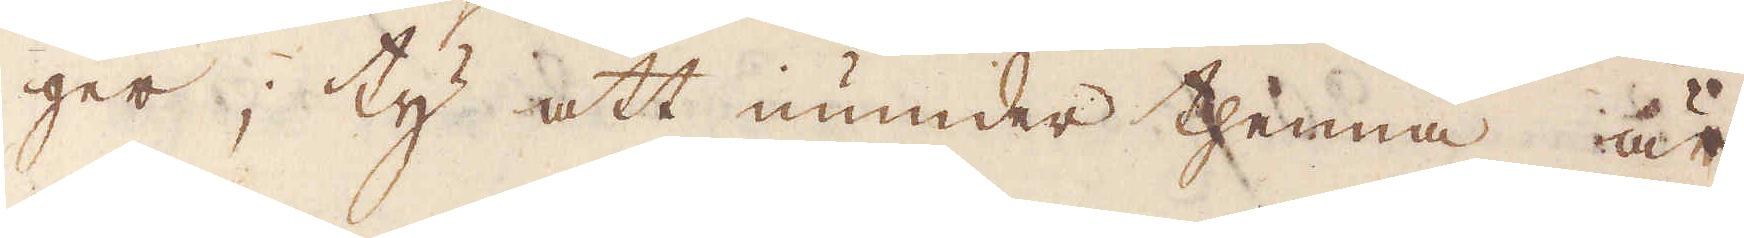ger; ty att inunder thenna är
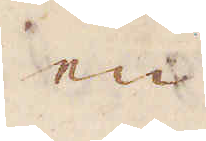en
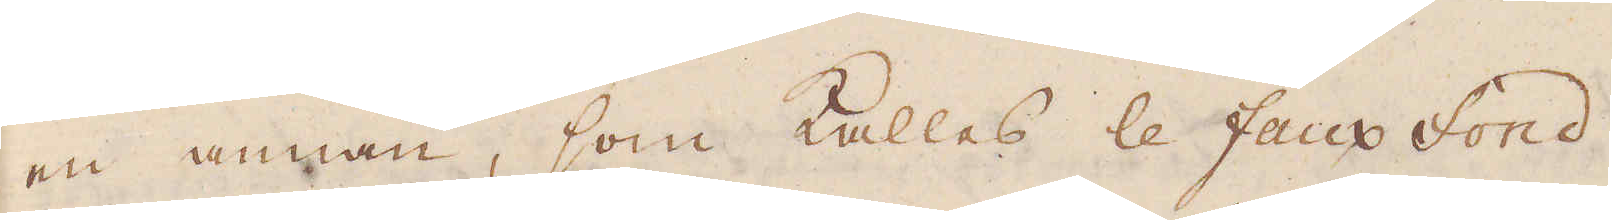en annan, som kallas le faux fond
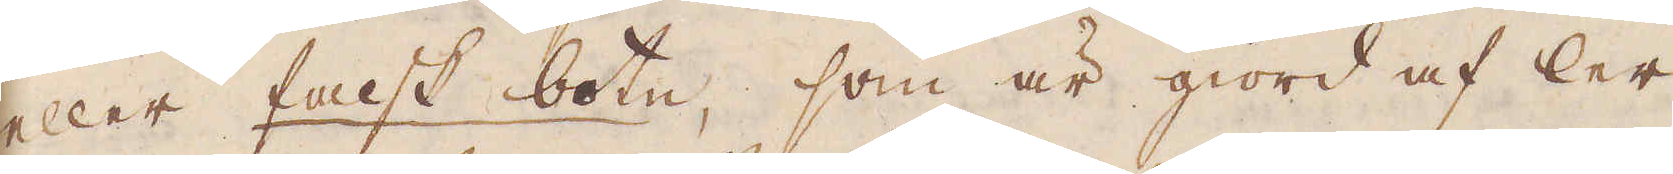eller falsk botn, som är giord af ler
